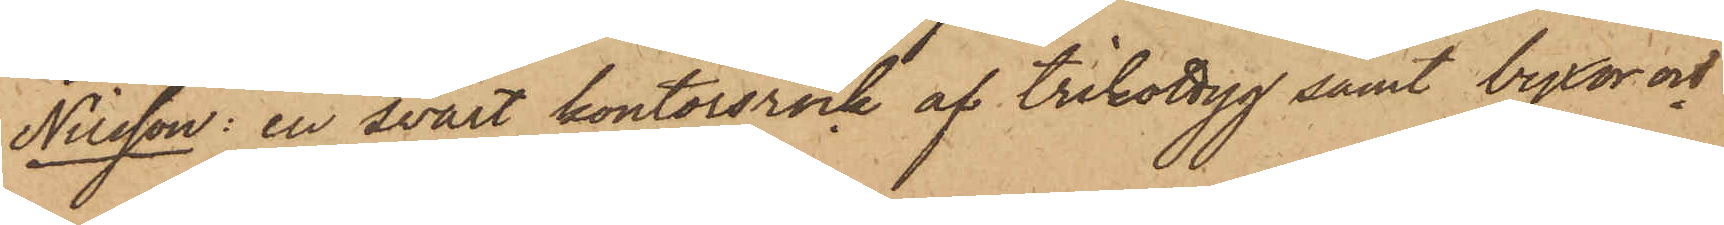Nilsson: en svart kontorsrock af trikottyg samt byxor och
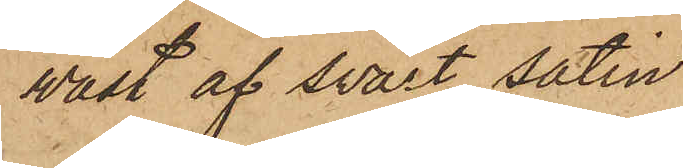väst af svart satin
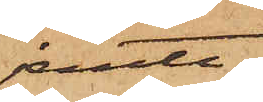jemte
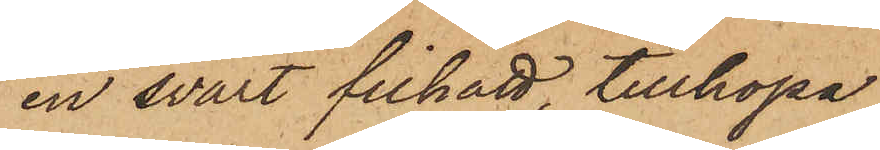en svart filhatt, tillköpa
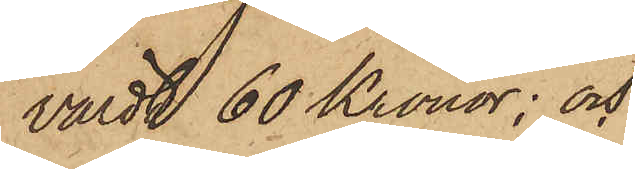värdt 60 Kronor; och
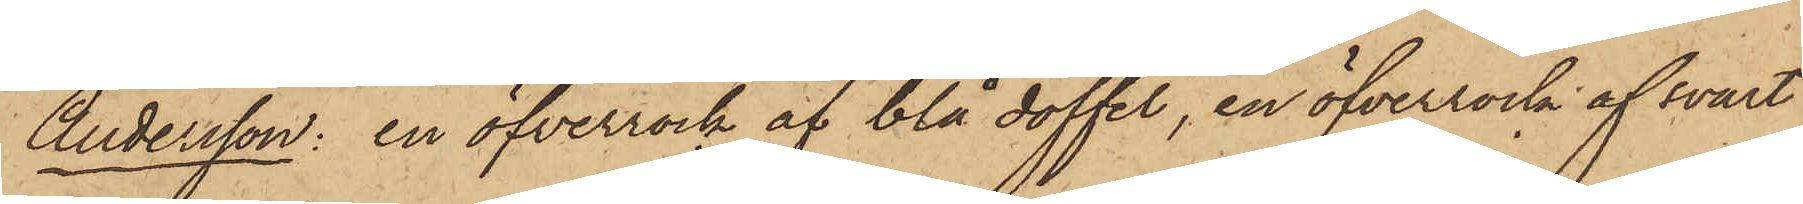Andersson: en öfverrock af blå doffel, en öfverrock af svart
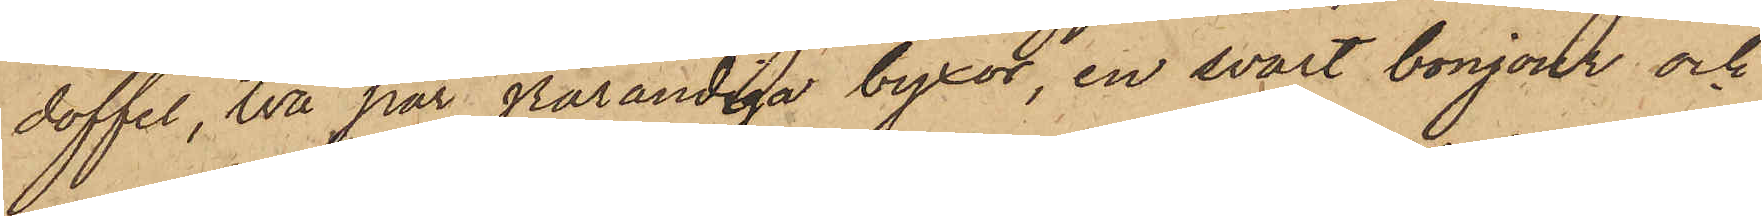doffel, två par grårandiga byxor, en svart bonjour och
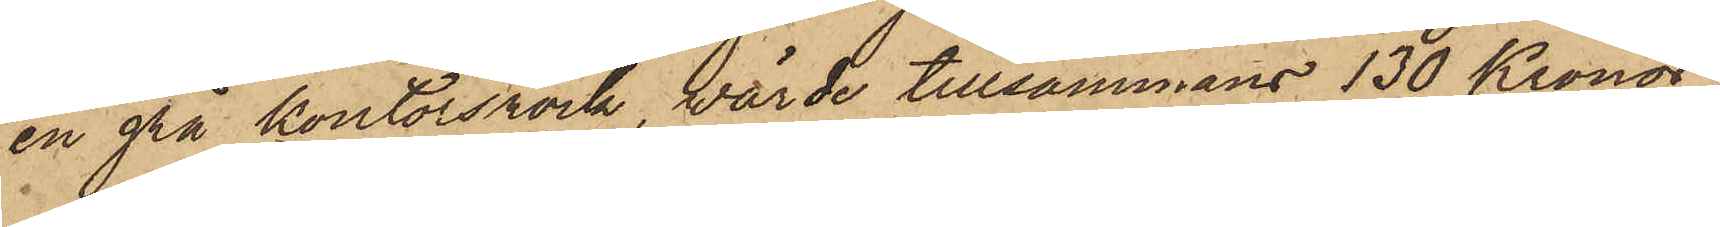en grå kontorsrock, wärde tillsammans 130 Kronor;
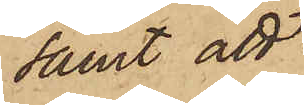samt att
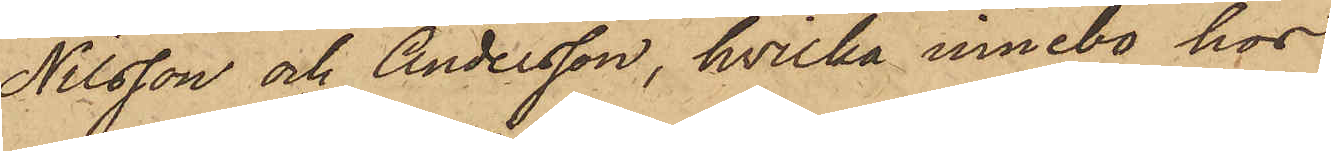Nilsson och Andersson, hvilka innebo hos
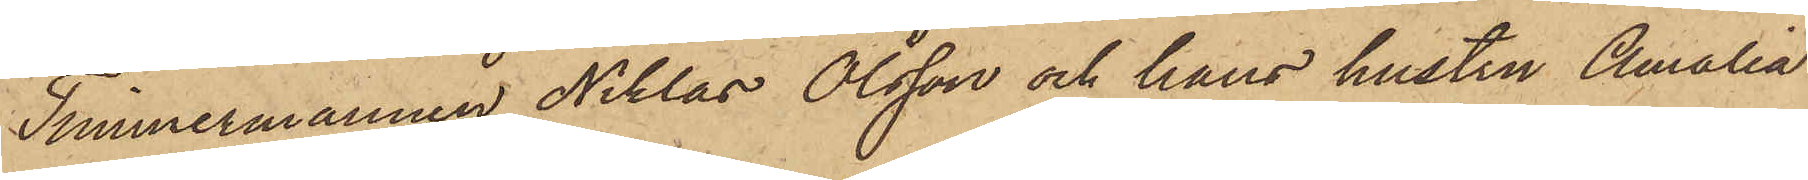Timmermannen Niklas Olsson och hans hustru Amalia
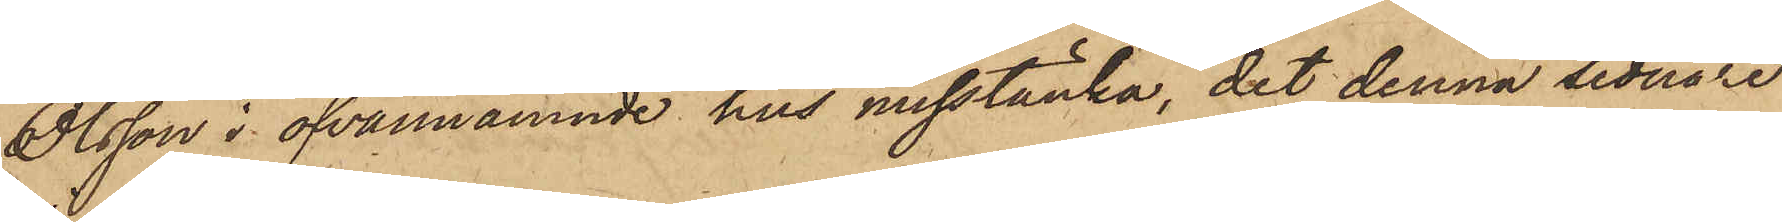Olsson i ofvannämnde hus misstänka, det denna sednare
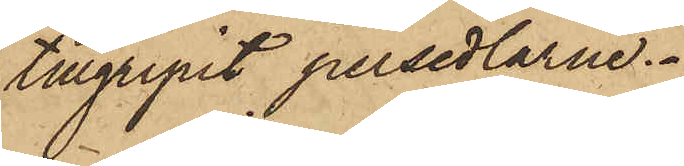tillgripit persedlarne.
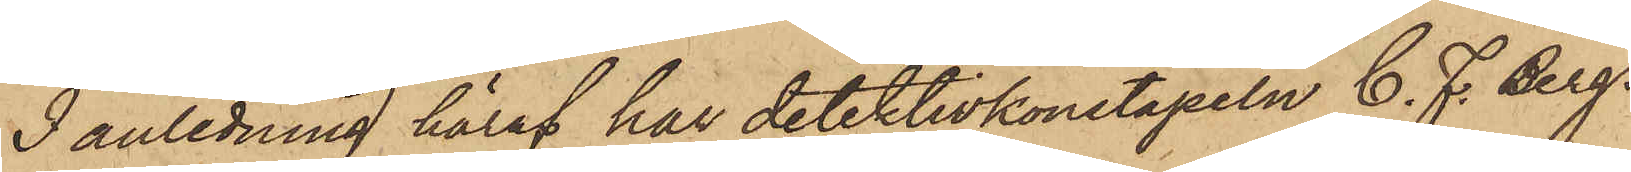I anledning häraf har detektivkonstapeln C. F. Berg¬
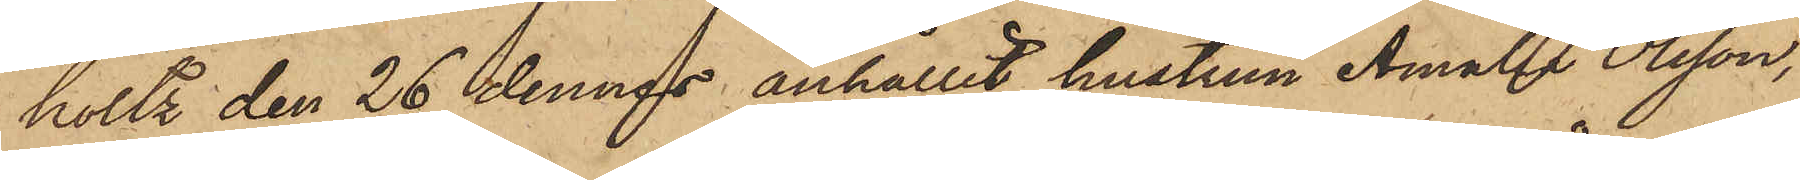holtz den 26 dennes anhållit hustrun Amalia Olsson,
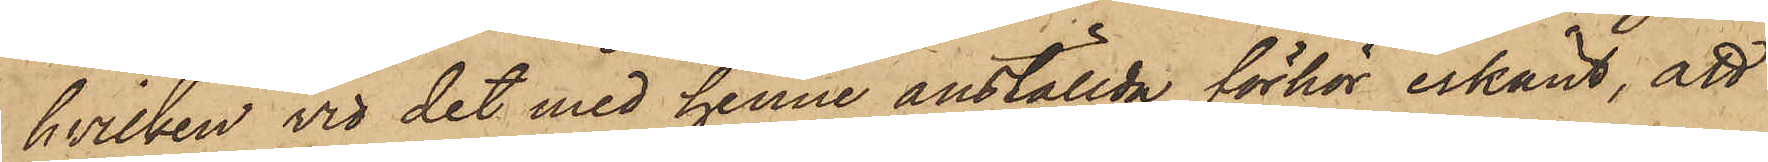hvilken vid det med henne anställda förhör erkänt, att
